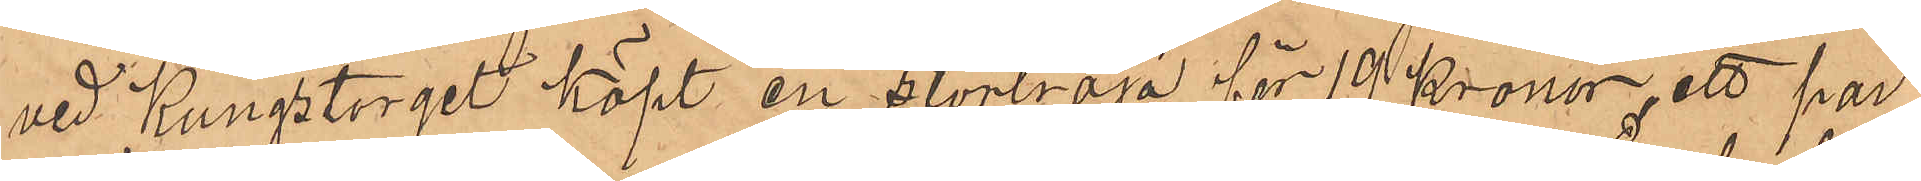vid Kungstorget köpt en stortröja för 19 Kronor, ett par
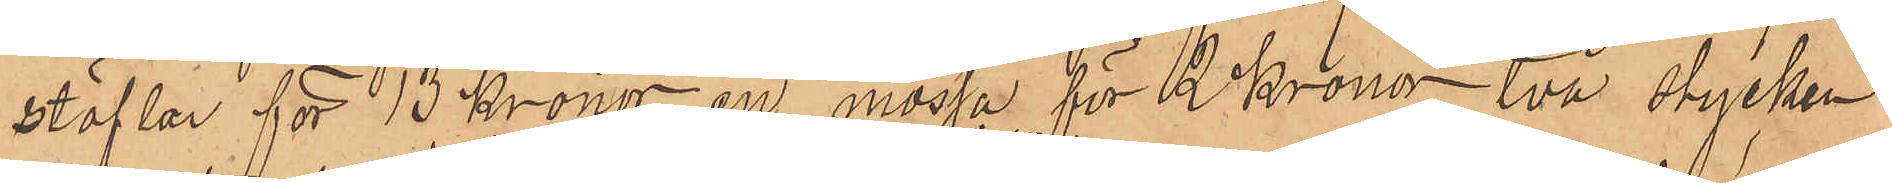stöflar för 13 Kronor, en mössa för 2 Kronor, två stycken
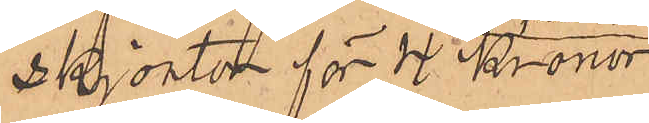skjortor för 4 Kronor,
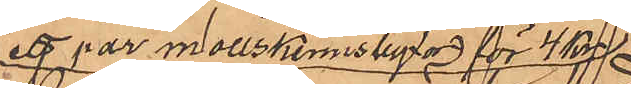ett par mollskinnsbyxor för 4 kr,
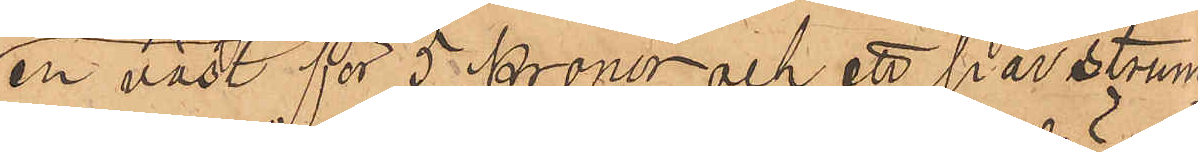en väst för 5 Kronor och ett par strum¬
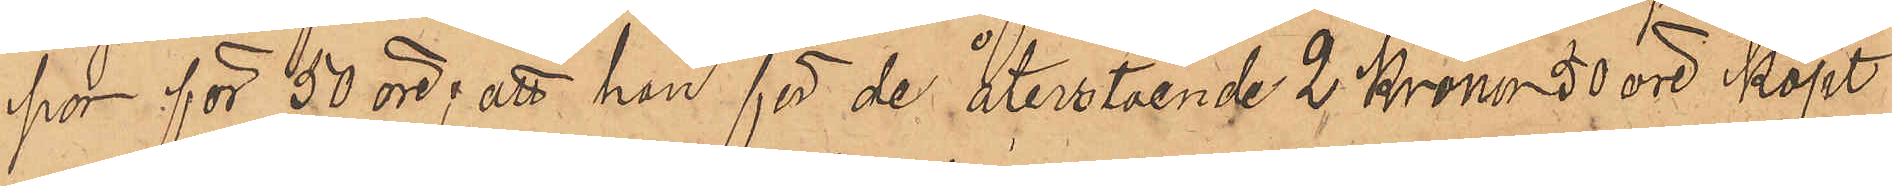por för 50 öre; att han för de återstående 2 Kronor 50 öre köpt
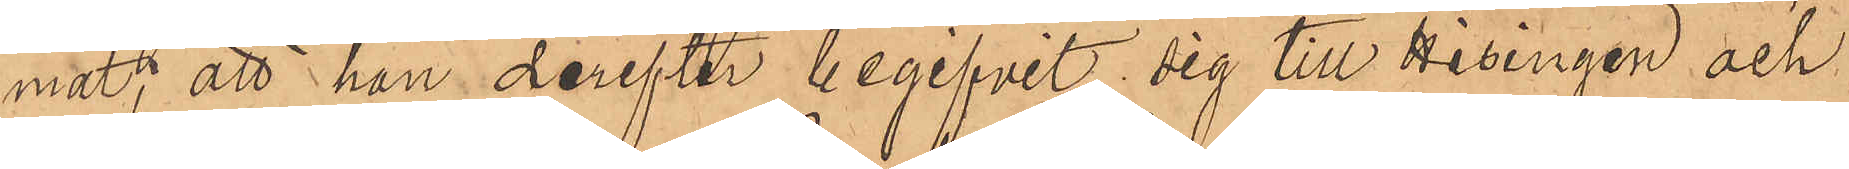mat; att han derefter begifvit sig till Hisingen och
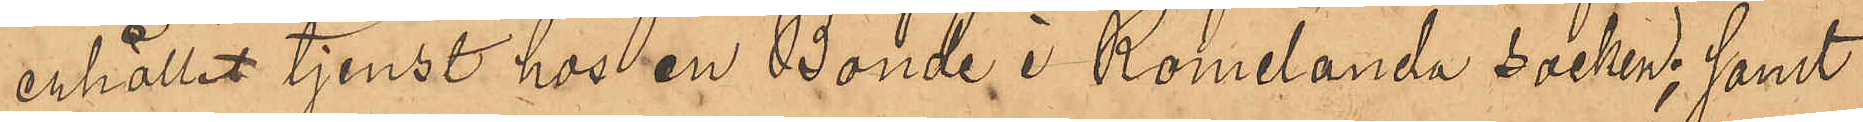erhållit tjenst hos en Bonde i Romelanda socken; samt
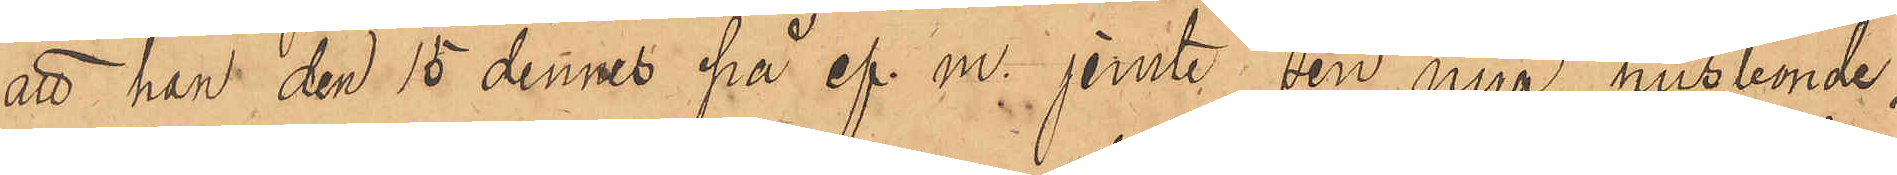att han den 15 dennes på ef.m. jemte sin nya husbonde,
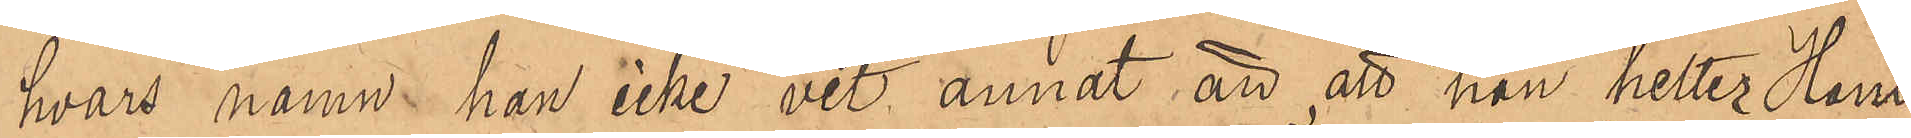hvars namn han icke vet annat än att han hetter Hans
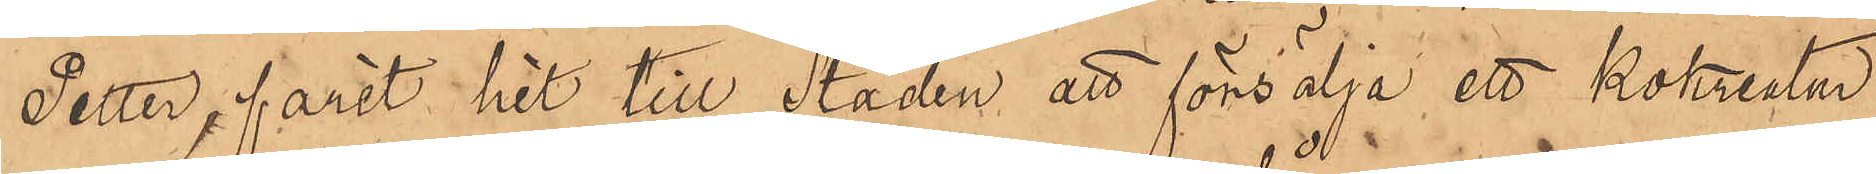Petter, farit hit till Staden att försälja ett kokreatur
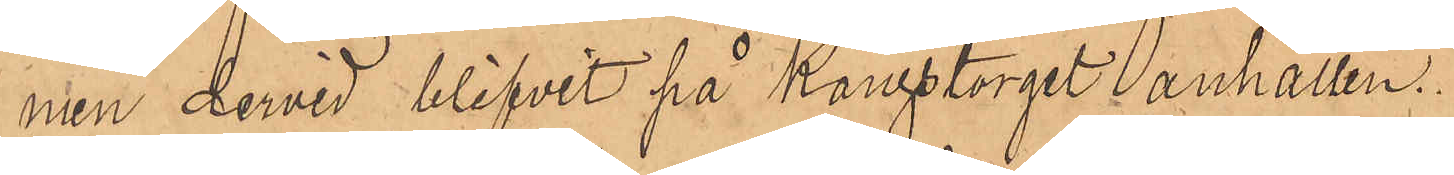men dervid blifvit på Kungstorget anhållen.
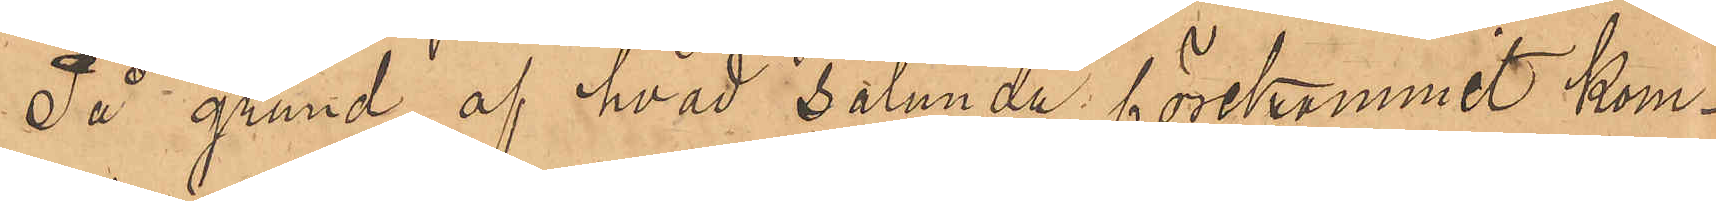På grund af hvad sålunda förekommit kom¬
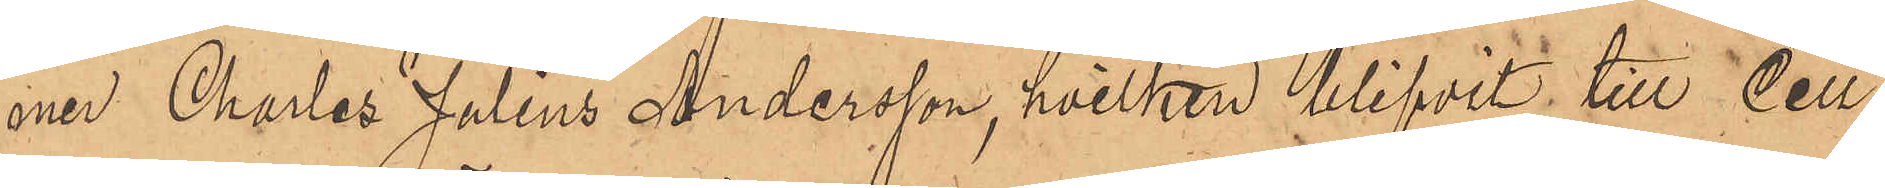mer Charles Julius Andersson, hvilken blifvit till Cell¬
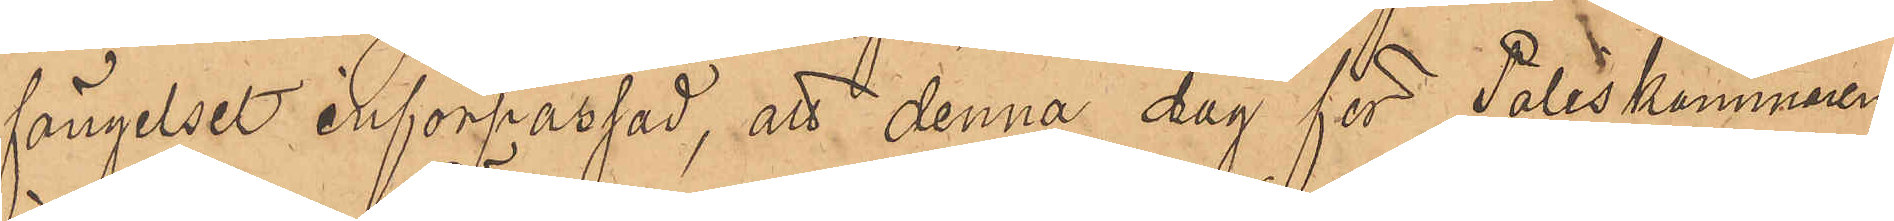fängelset införpassad, att denna dag för Poliskammaren
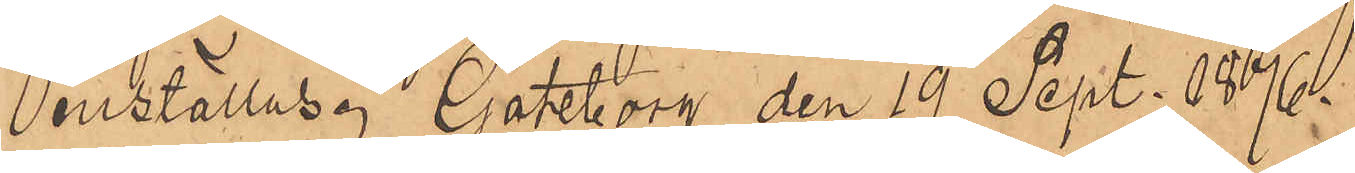inställas. Göteborg den 19 Sept. 1876.
